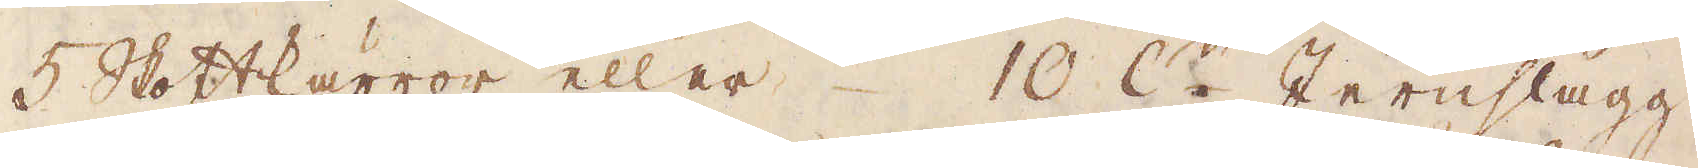5 Skottkärror eller 10 R:r Jernslagg.
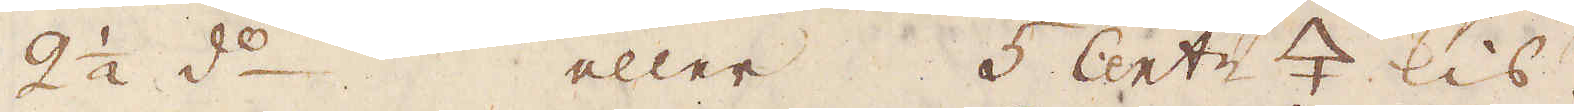2 1/2 d:o eller 5 Cent:r 🜍 kis.
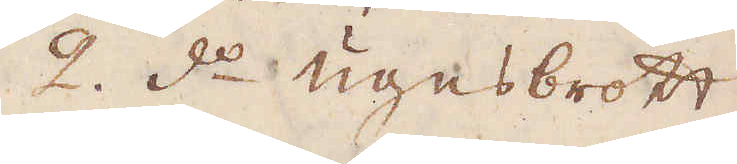2. d:o ugnsbrott
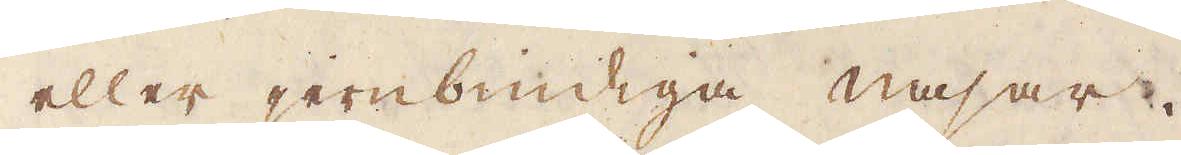eller jernbindiga nasar.
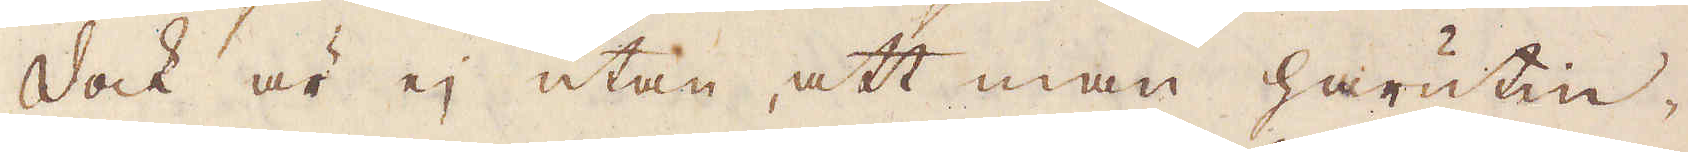Dock är ej utan, att man härutin-
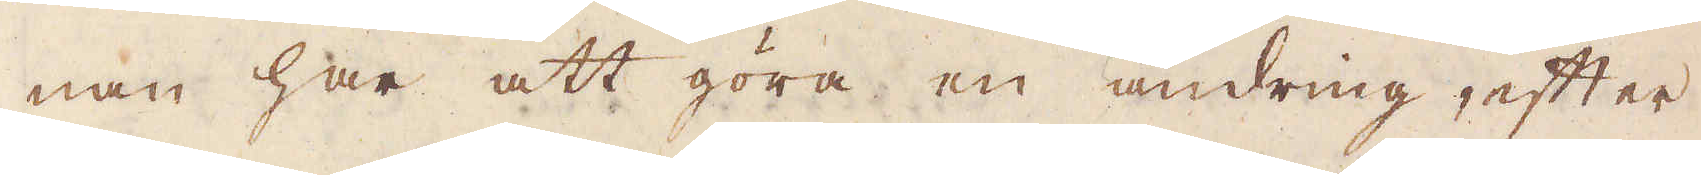nan har att göra en ändring, efter
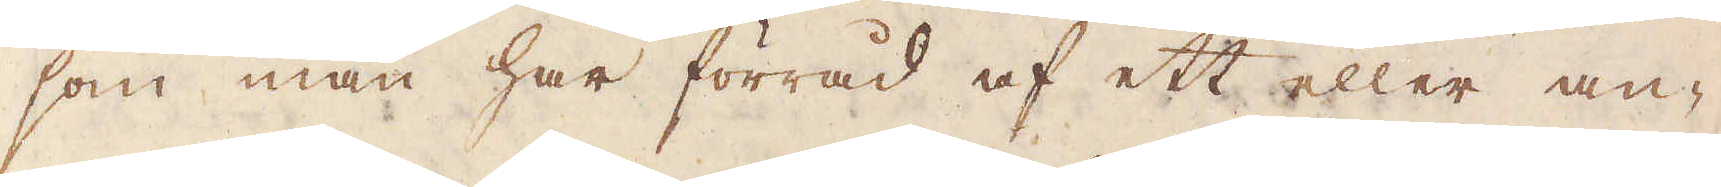som man har förråd af ett eller an-
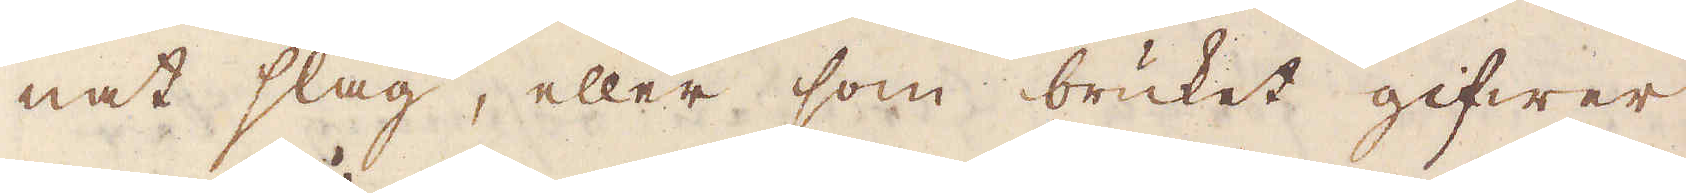nat slag, eller som bruket gifwer
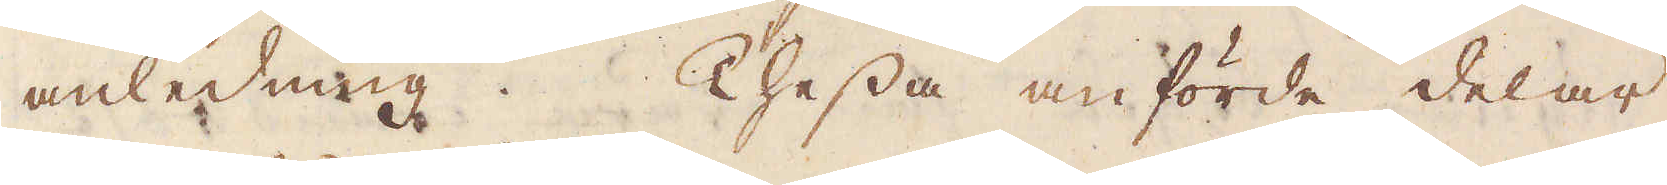anledning. Thessa anförde delar
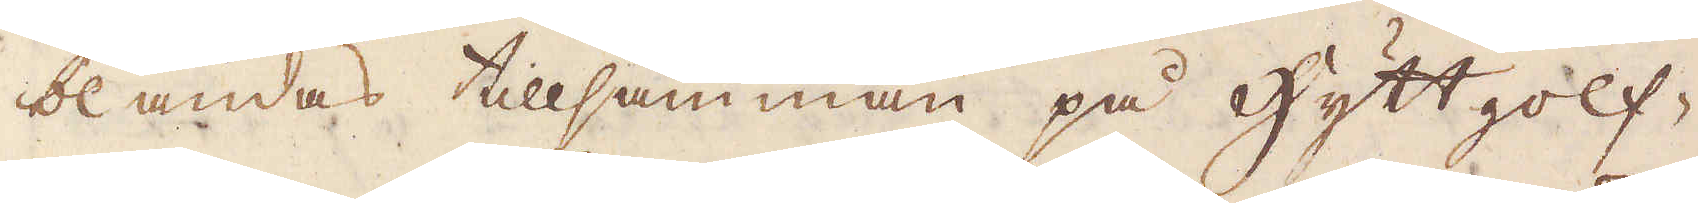blandas tillsamman på hyttgolf-
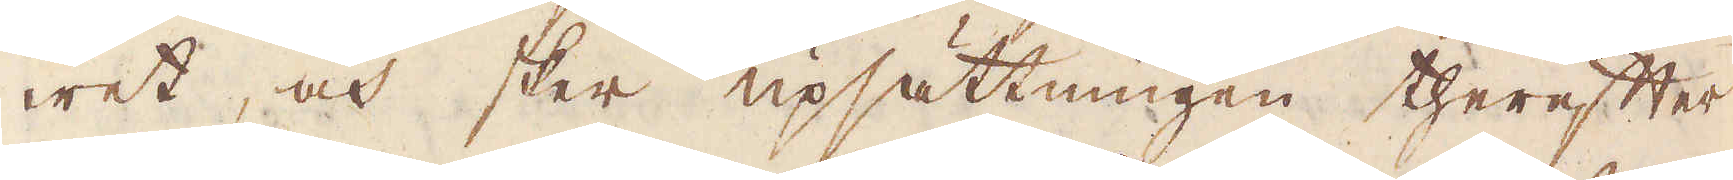wet, och sker upsättningen therefter
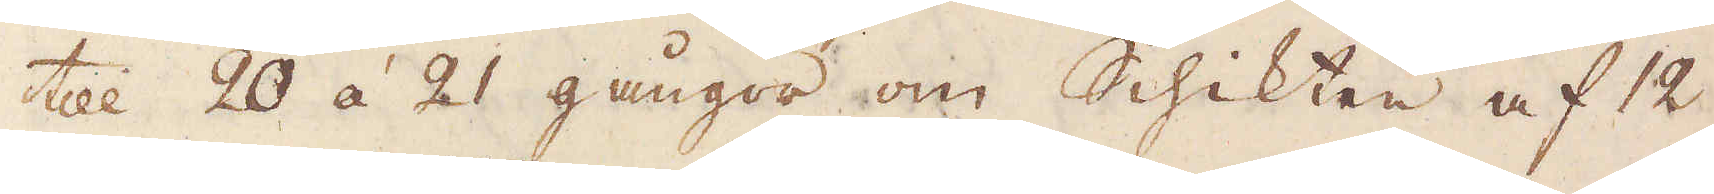till 20 á 21 gångor om Schikten af 12
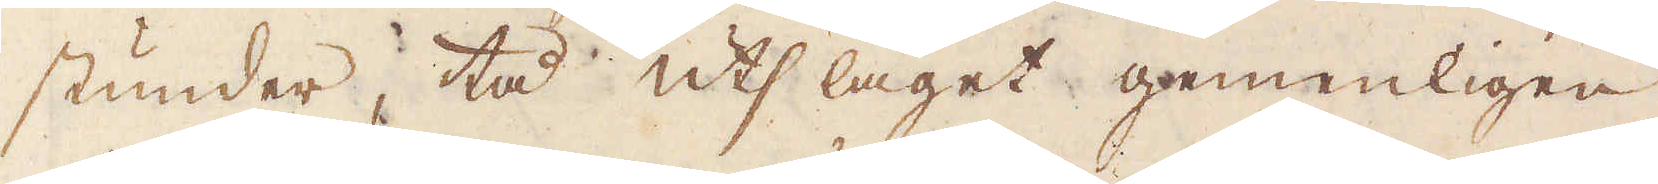stunder, tå utslaget gemenligen
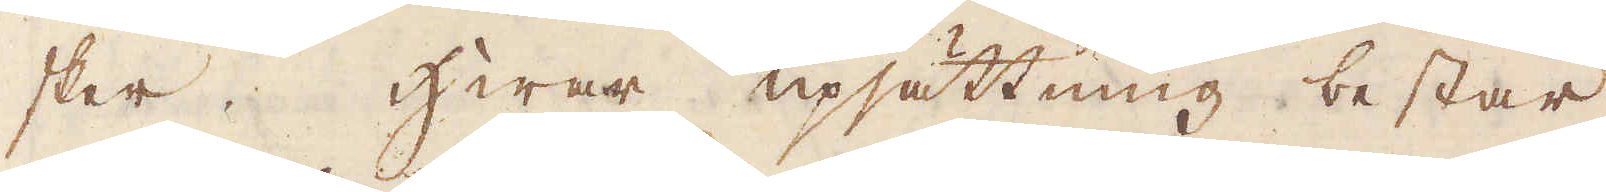sker. Hwar upsättning består
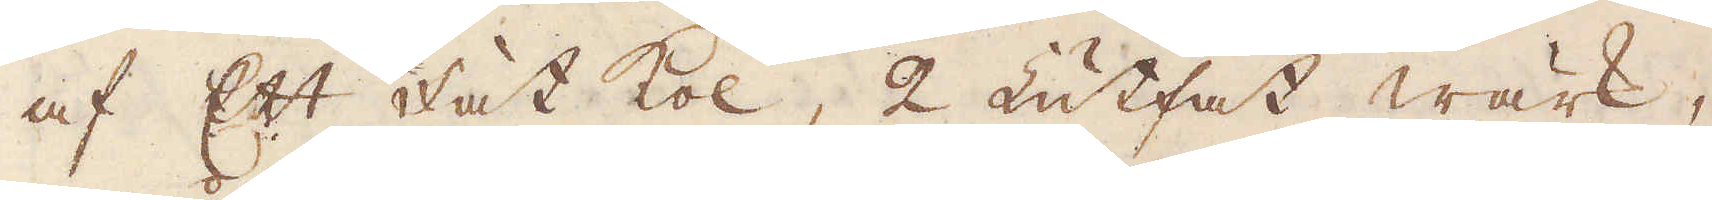af Ett Fat kol, 2 Lutfat wärk,
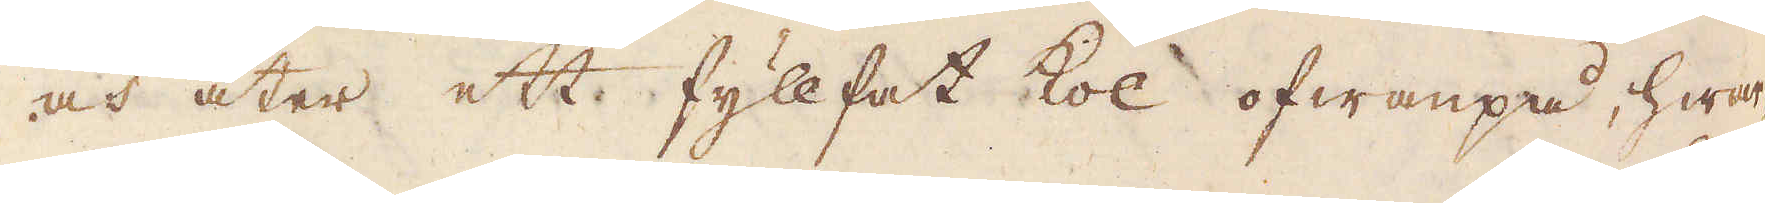och åter ett fyllfat kol ofwanpå, hwar-
